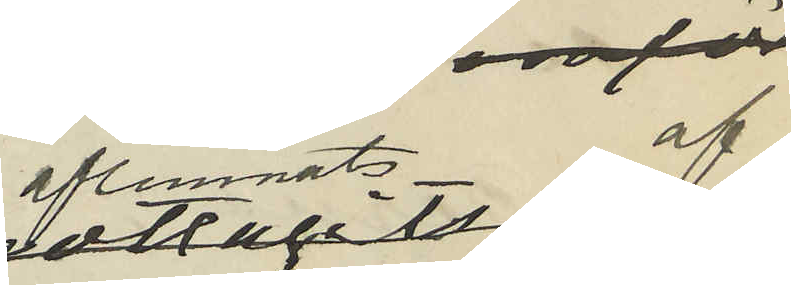aflemnats af
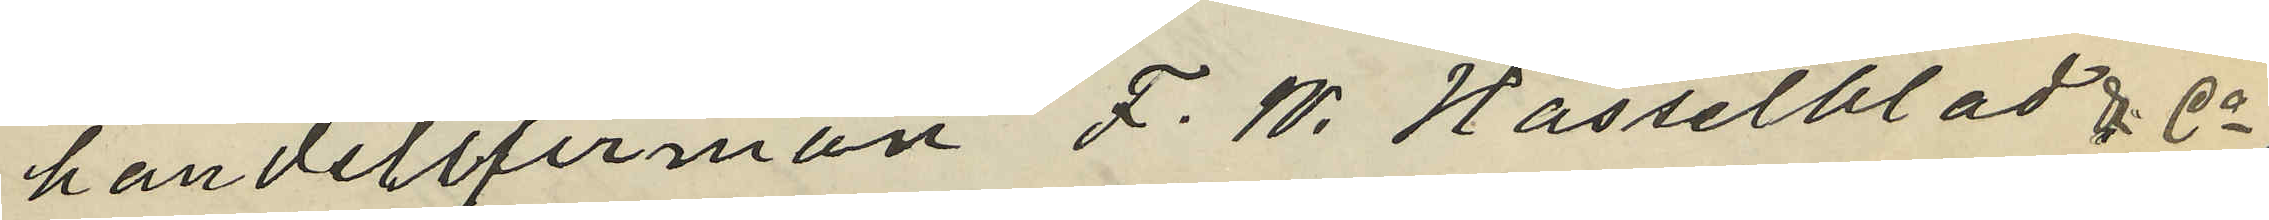handelsfirman F. W. Hasselblad & Co
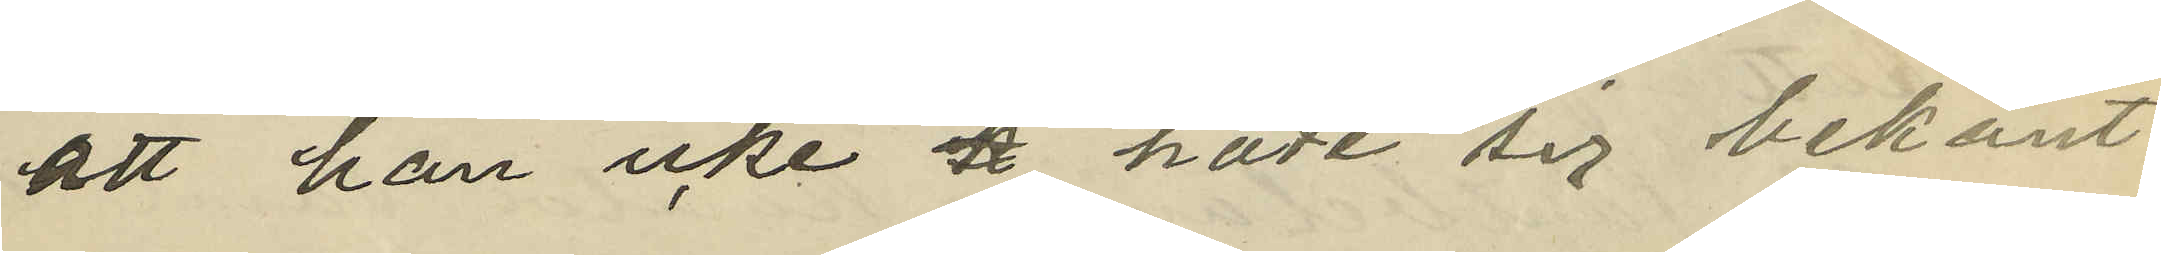att han icke k hade sig bekant
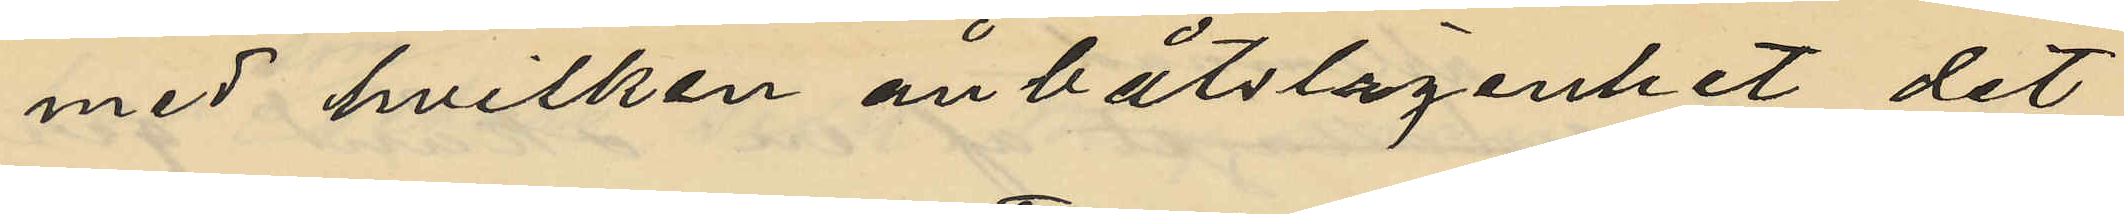med hvilken ånbåtslägenhet det
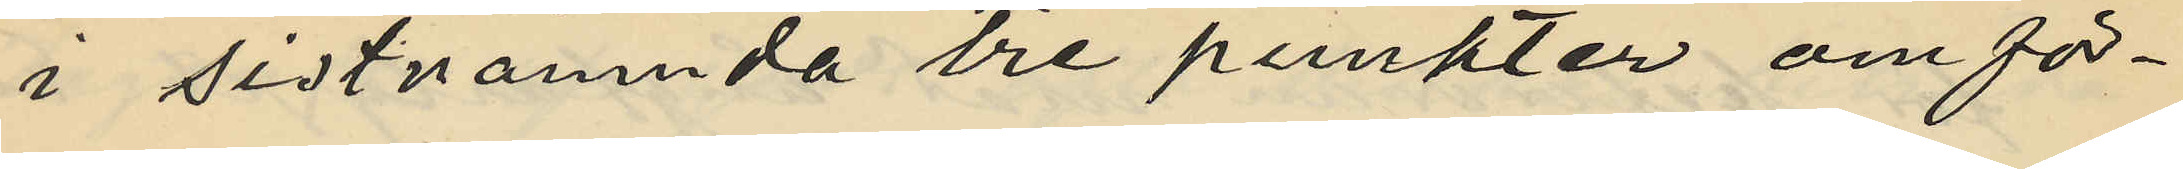i sistnämnda tre punkter omför¬
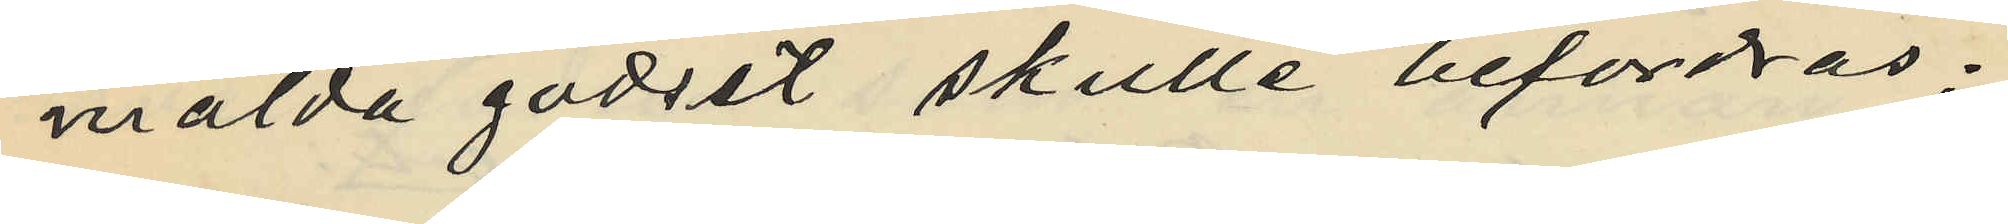mälda godset skulle befordras;
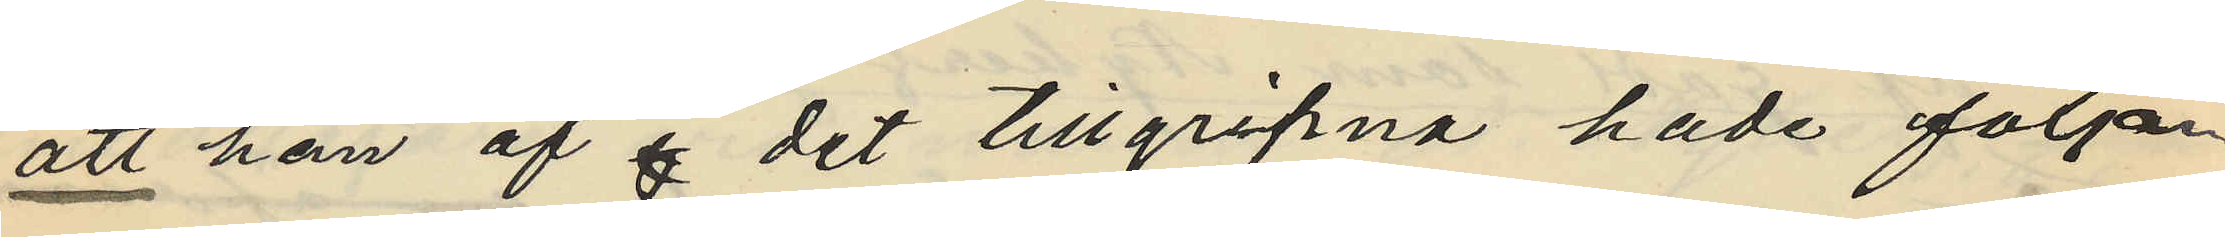att han af det tillgripna hade följan¬
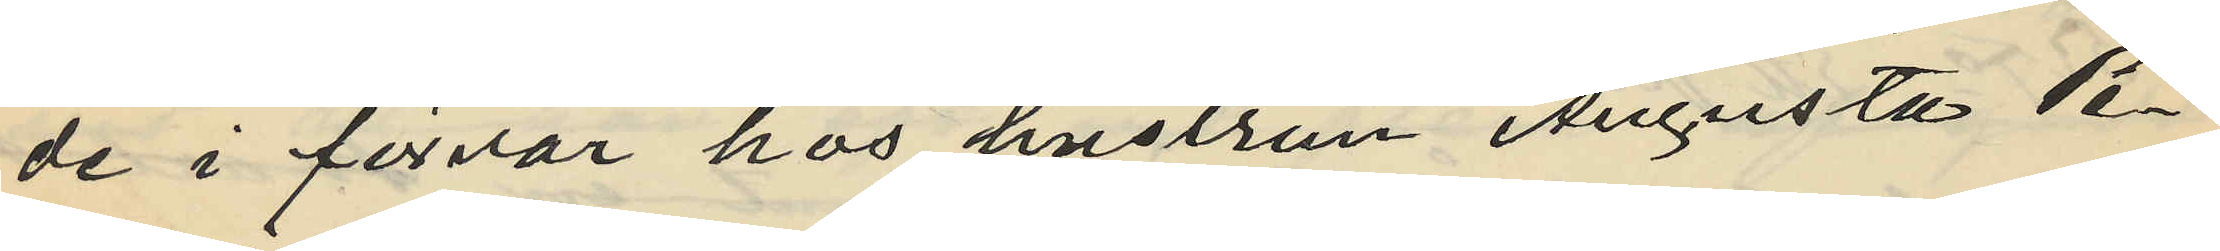de i förvar hos hustrun Augusta Pe¬
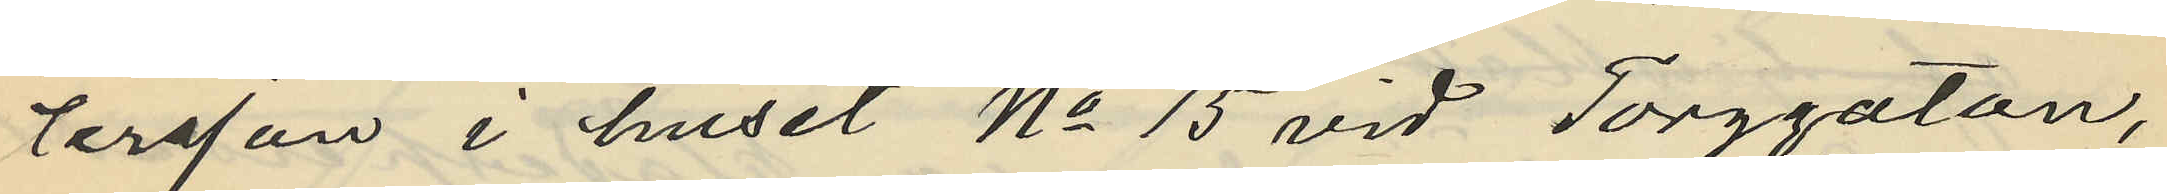tersson i huset No 15 vid Torggatan,
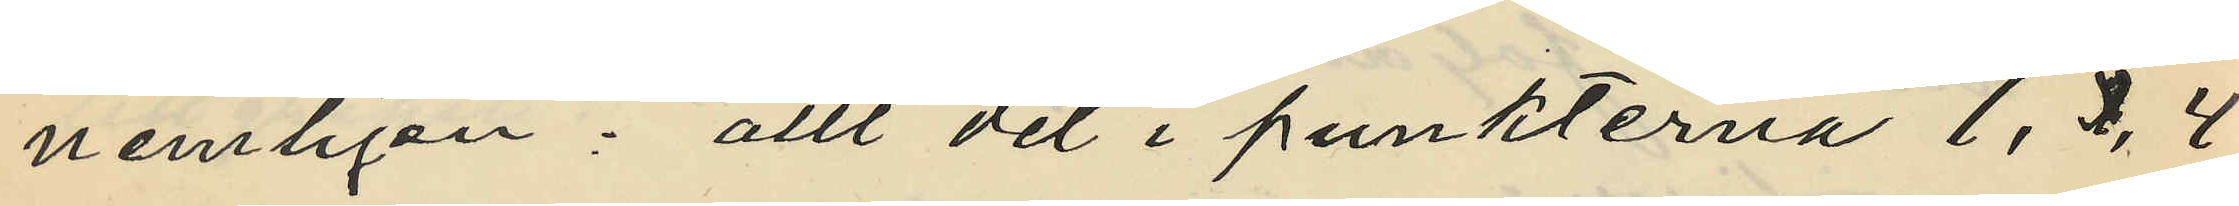nemligen: allt det i punkterna 1, 2 ,4
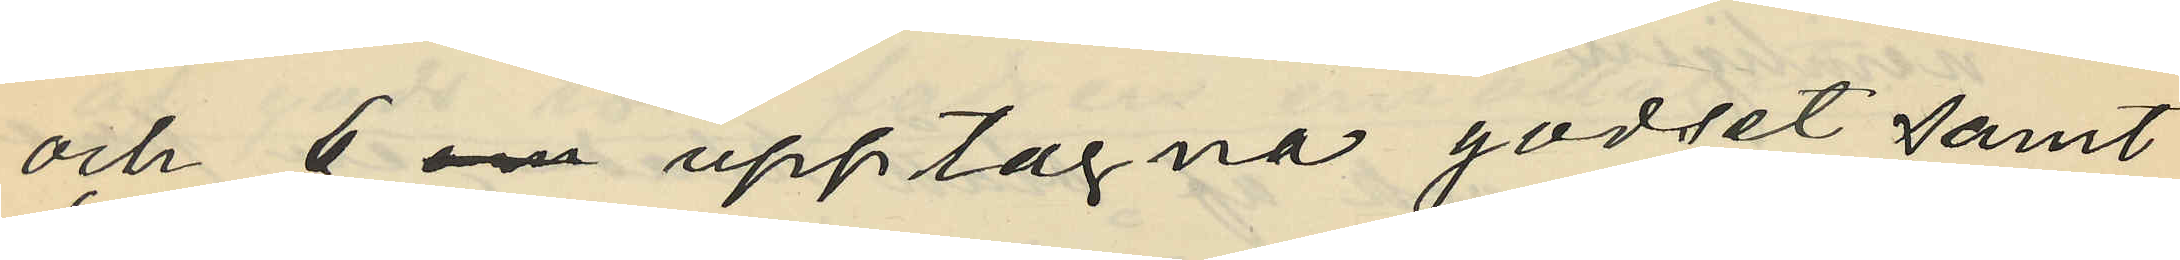och 6 om upptagna godset samt
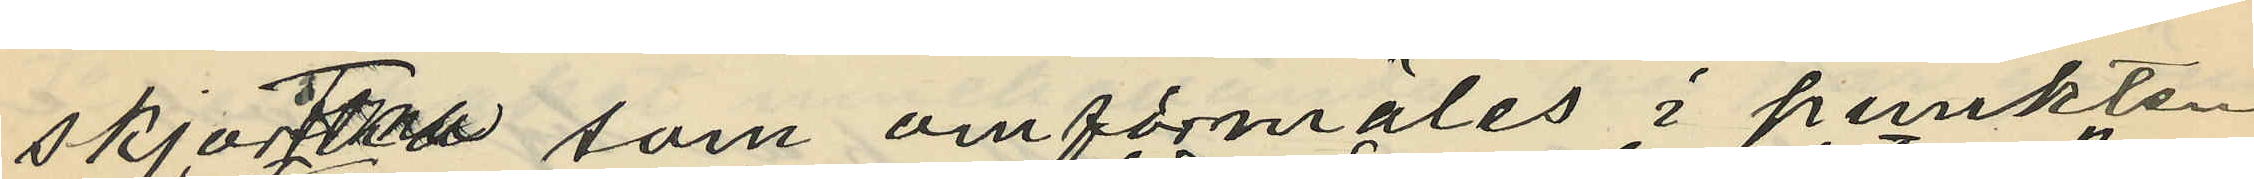skjortan som omförmäles i punkten
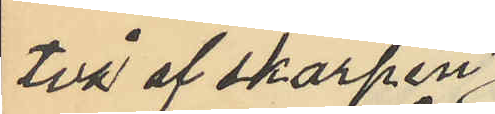två af skarpen
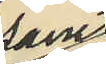samt
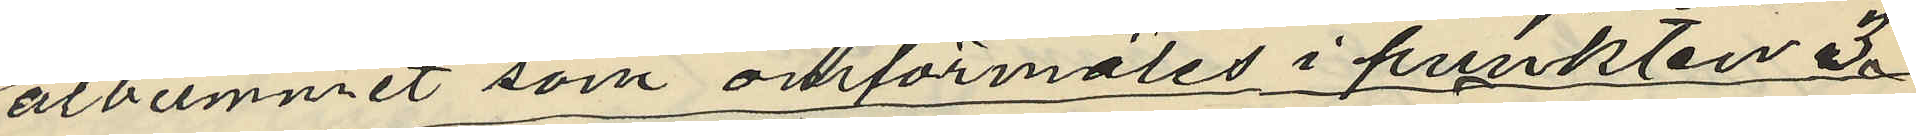albummet som omförmäles i punkten 3,
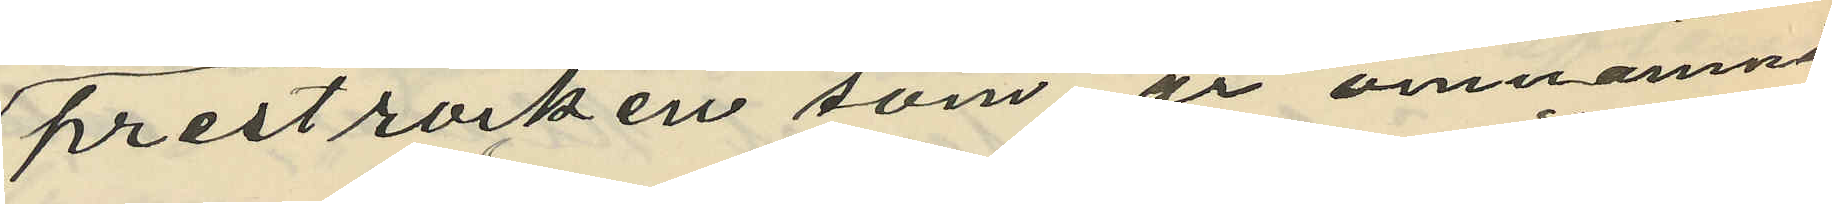prestrocken som är omnämnd
